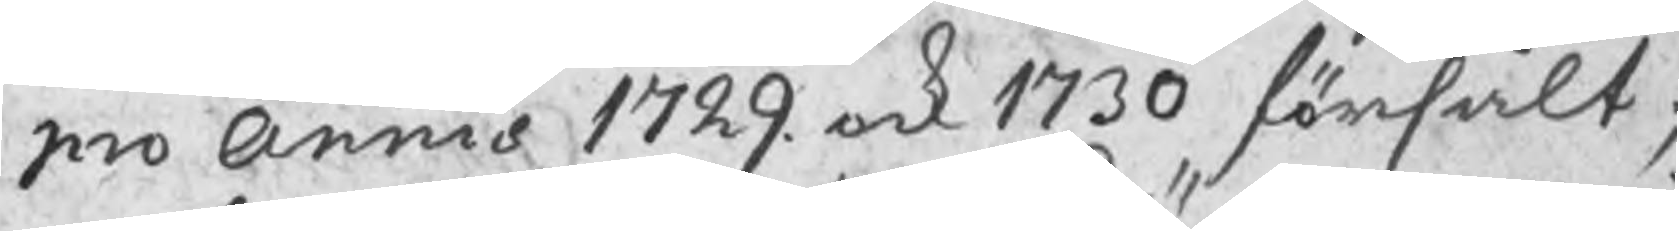pro Annis 1729 ock 1730 försålt;
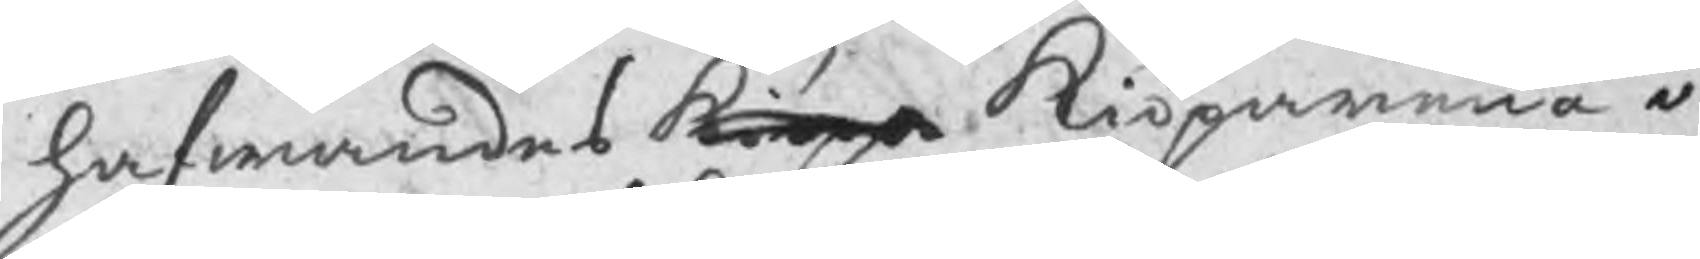hafwandes kiöpe Kiöparna i
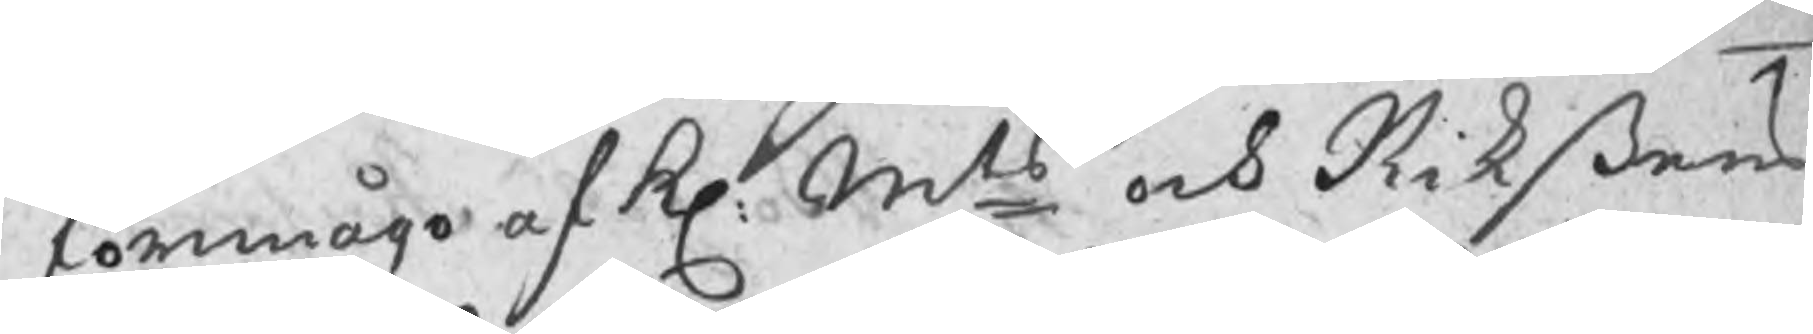förmågo af Kl: Mts och Riksens
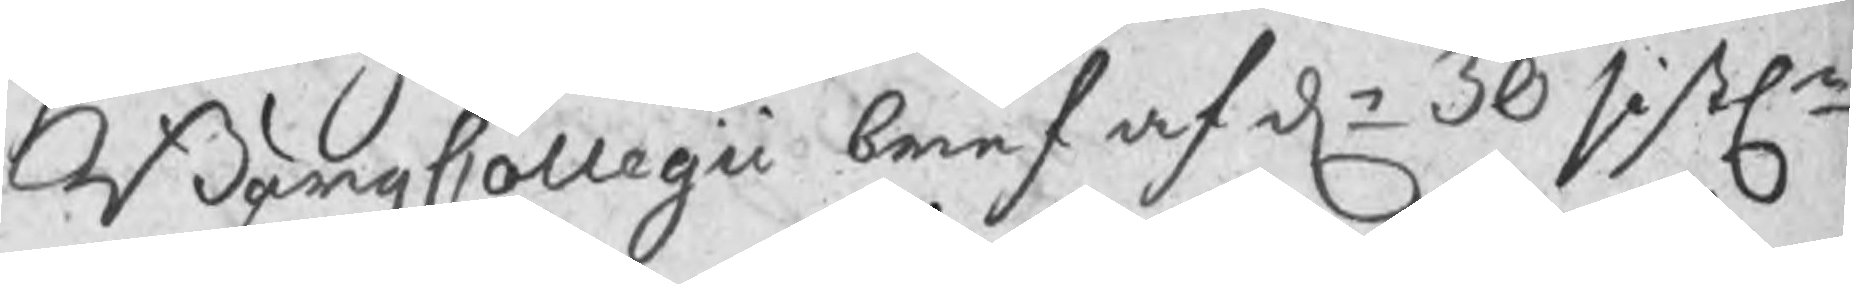BärgzCollegii bref af dn 30 sistln
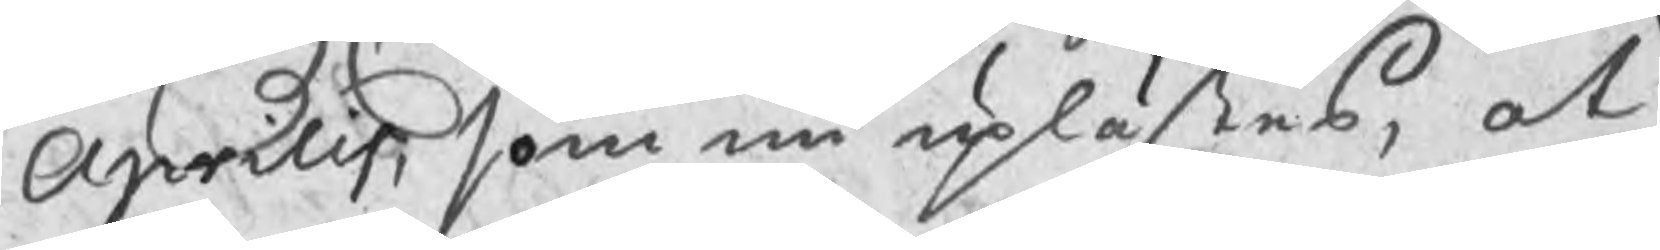Aprilis, som nu uplästes, at
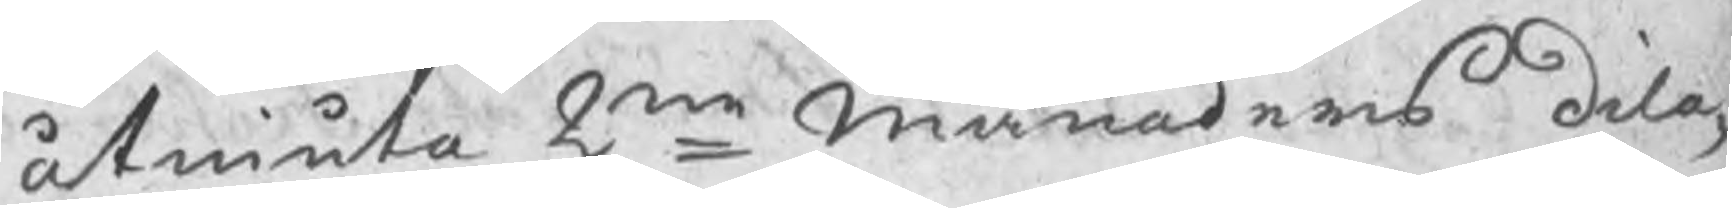åtniuta 2ne Månaders dila¬
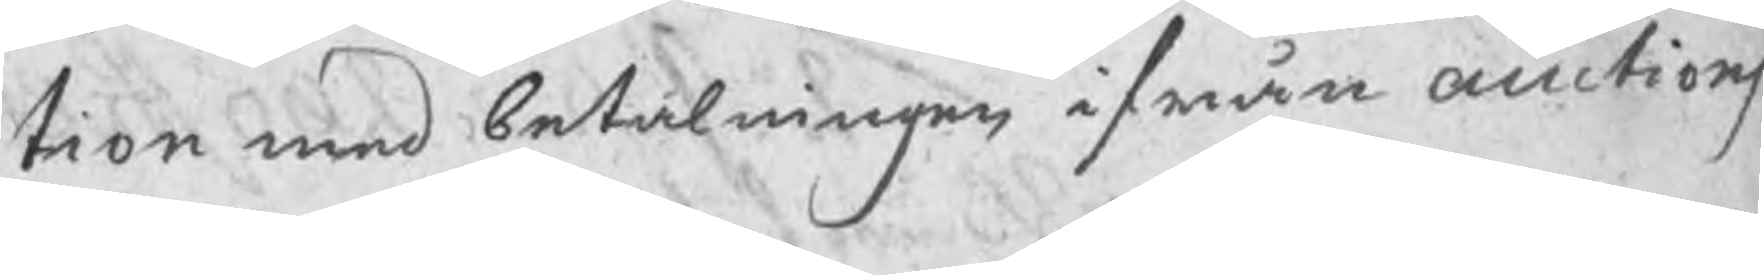tion med betalningen ifrån auctions
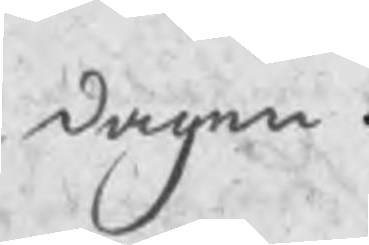dagen.
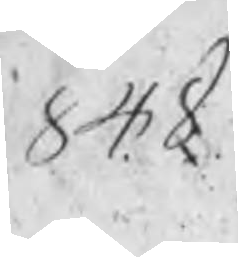848
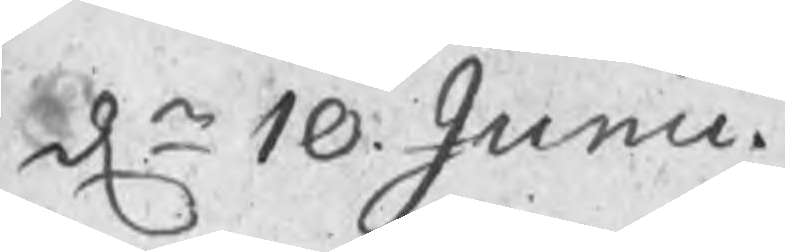dn 10 Junii
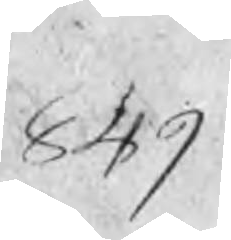849
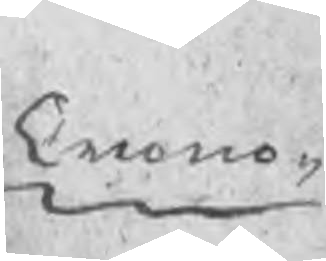Crono¬
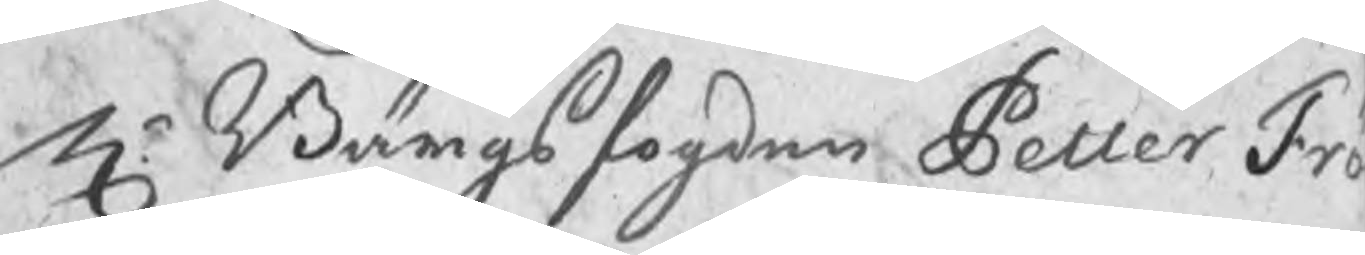Hr Bärgsfogden Petter Frö
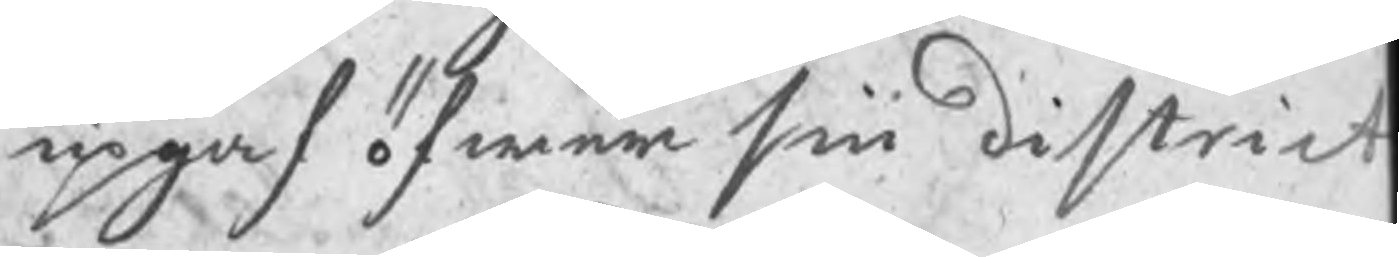upgaf öfwer sin district
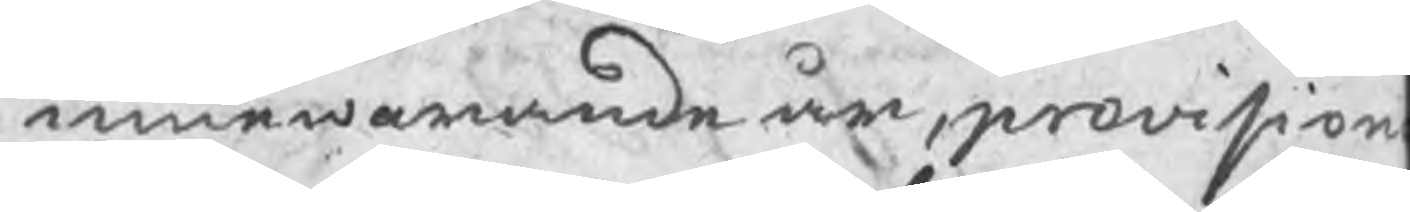innewarande år, provision
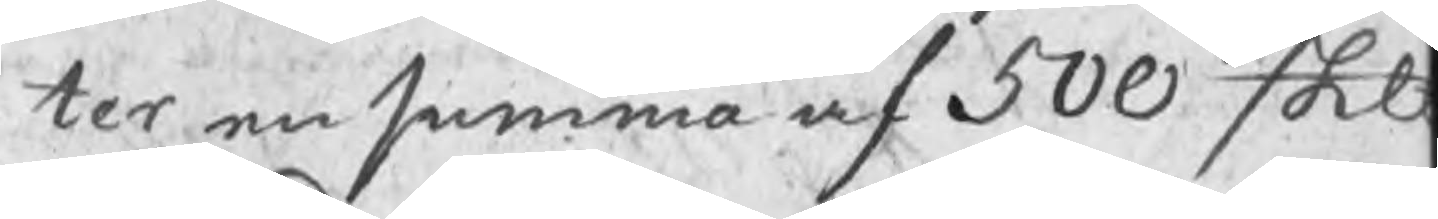ter en summa af 500 Skb
